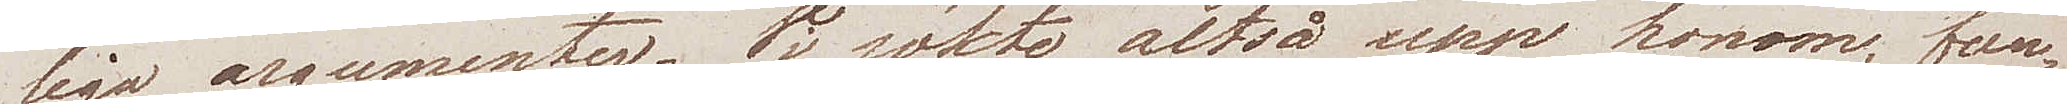liga argumenter. Vi sökte altså upp honom, fun¬
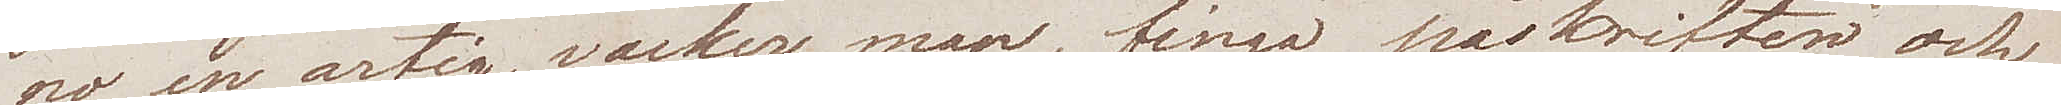no en artig, vacker man, fingo påskriften och
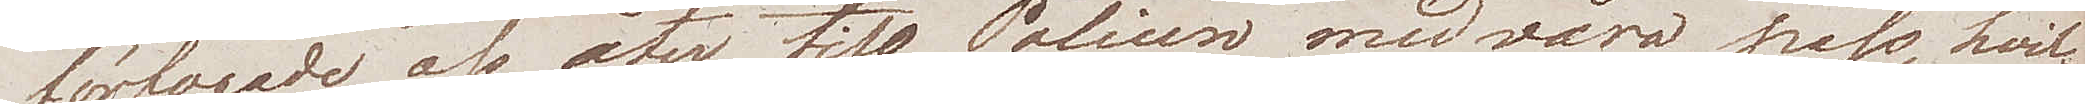förfogade oss åter till Polisen med våra pass, hvil¬
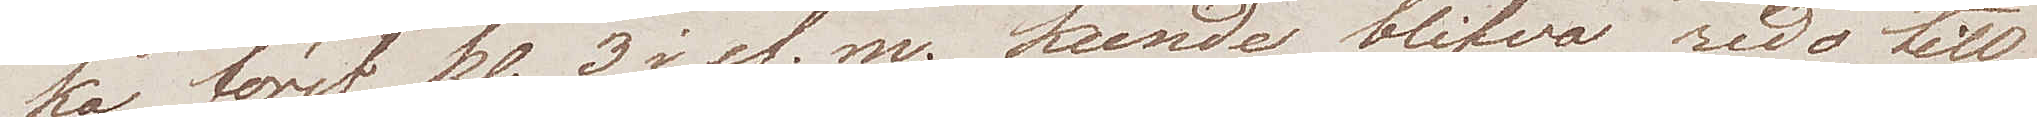ka först kl. 3 i ef.m. kunde blifva redo till
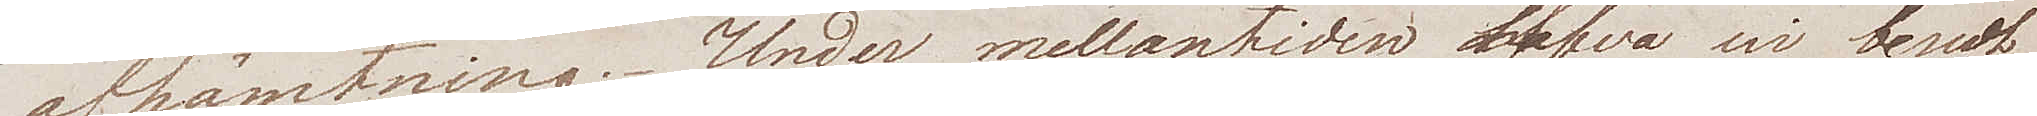afhämtning. Under mellantiden klefvo wi rundt
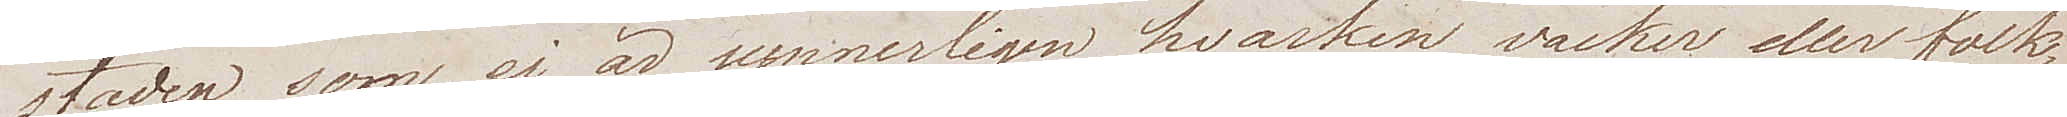staden, som ej är synnerligen hvarken vacker eller folk¬
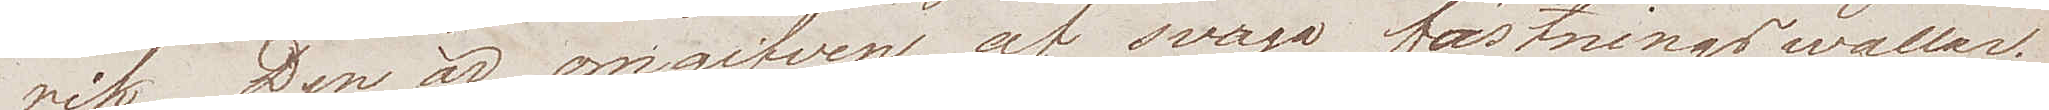rik. Den är omgifven af svaga fästningswallar.
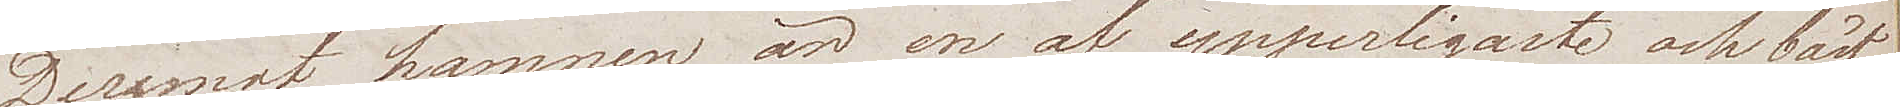Deremot hamnen är en af ypperligaste och bäst
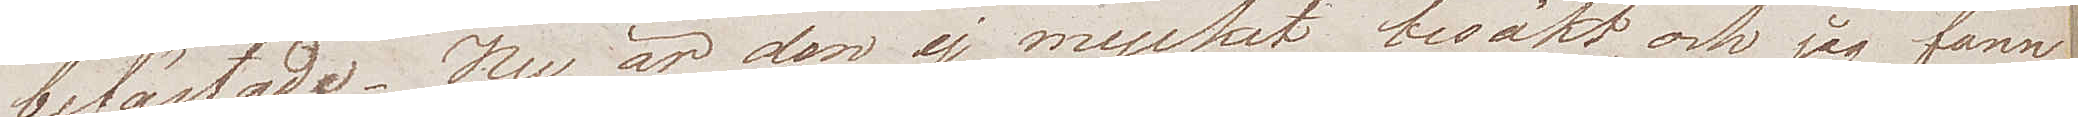befästade. Nu är den ej mycket besökt, och jag fann
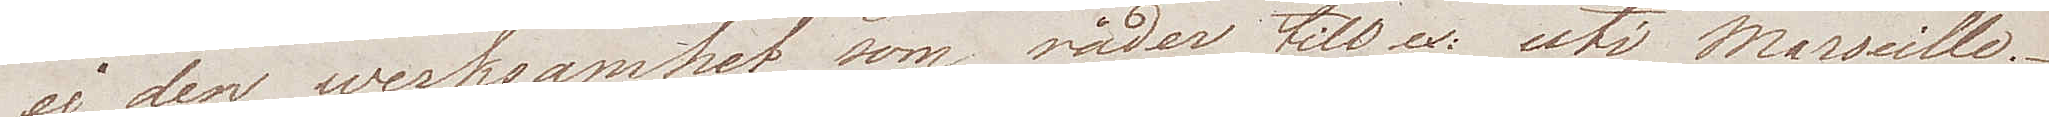ej den werksamhet som råder till ex: uti Marseille.
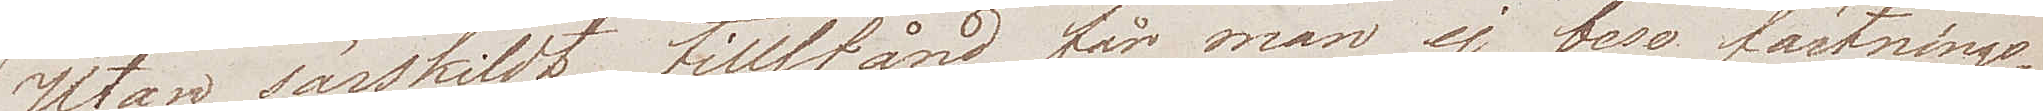Utan särskildt tillstånd får man ej bese fästnings¬
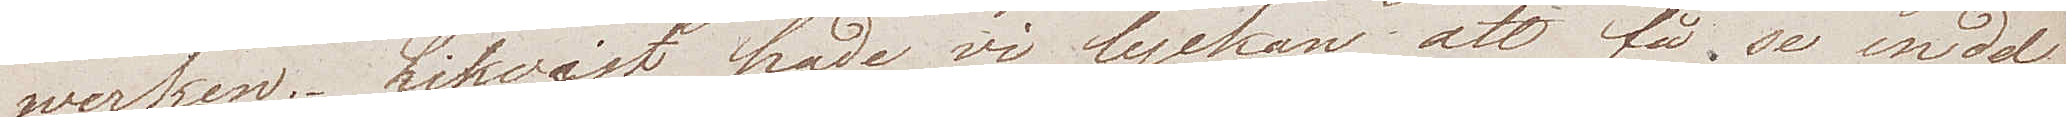werken. Likvist hade vi lyckan att få se en del
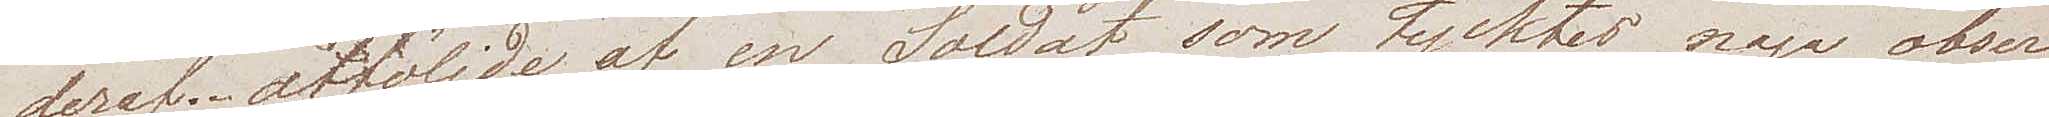deraf, åtföljde af en Soldat som tycktes noga obser¬
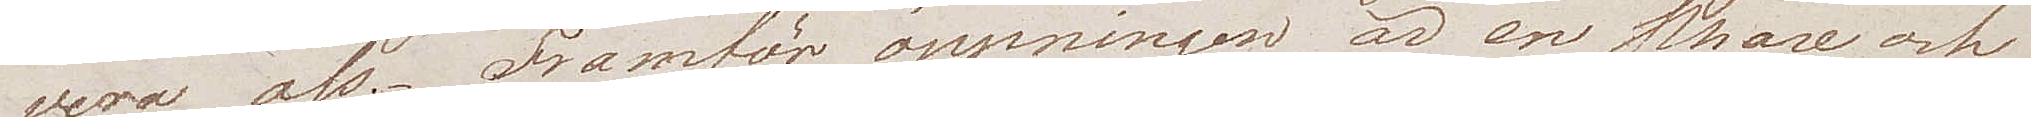vera oss. Framför öppningen är en Phare och
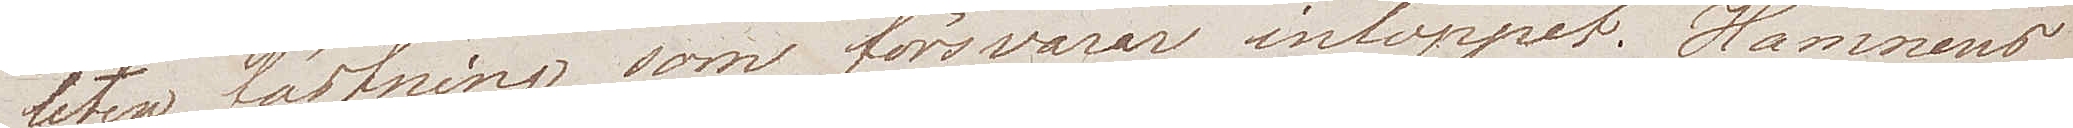liten fästning som försvarar inloppet. Hamnens
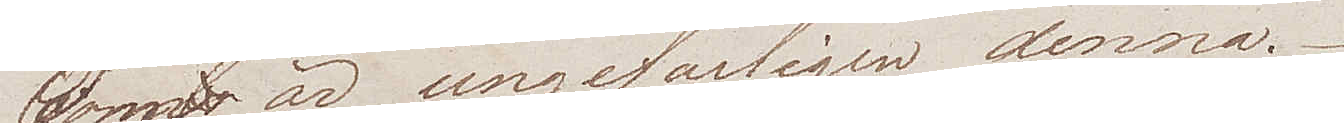Form är ungefärligen denna.
